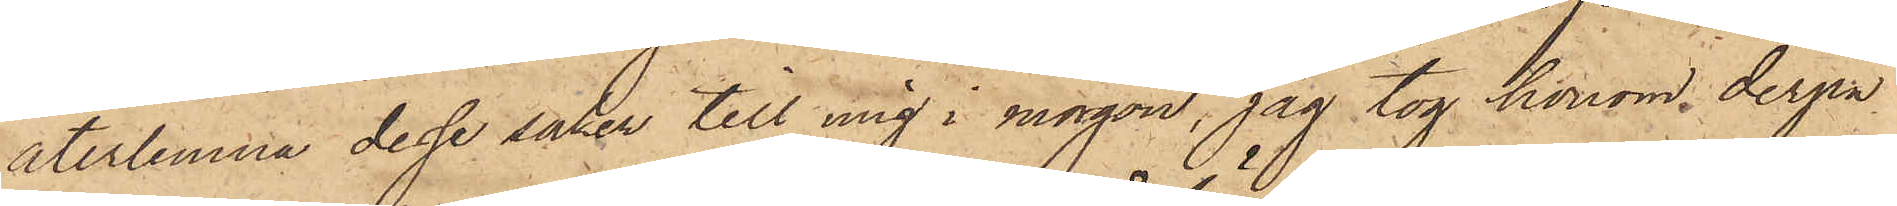återlemna dessa saker till mig i morgon, jag tog honom, derpå
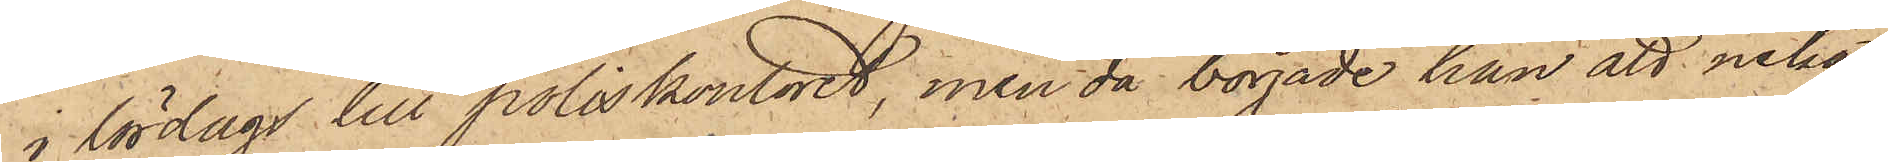i lördags till poliskontoret, men då började han att neka
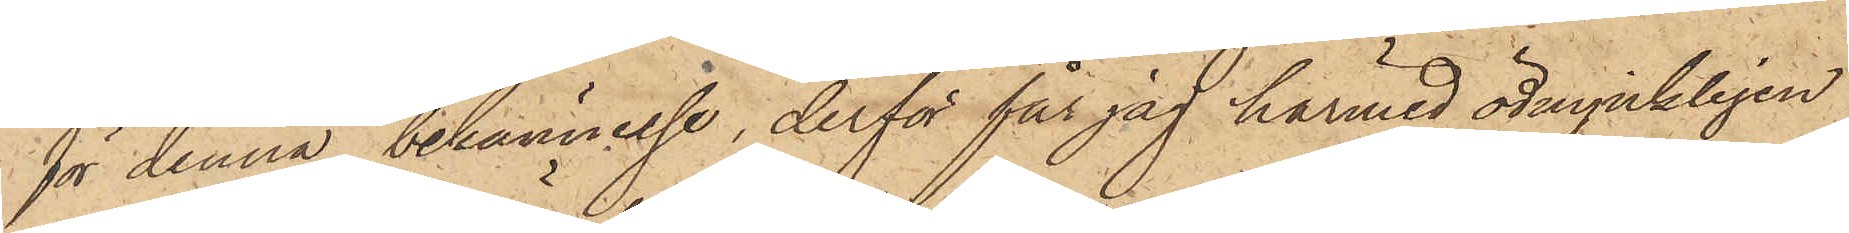för denna bekännelse, derför får jag härmed ödmjukligen
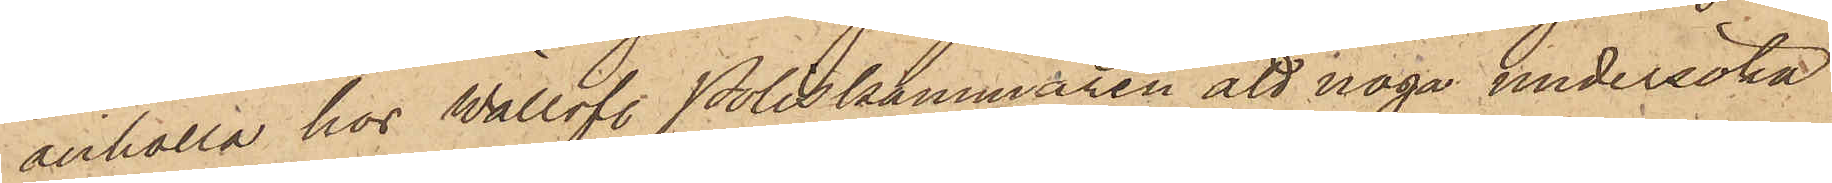anhålla hos Wällofl. Poliskammaren att noga undersöka
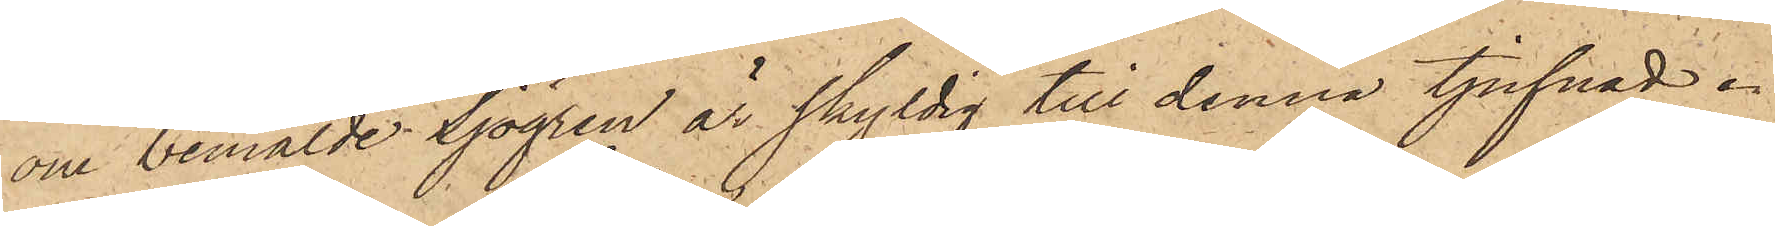om bemälde Sjögren är skyldig till denna tjufnad.
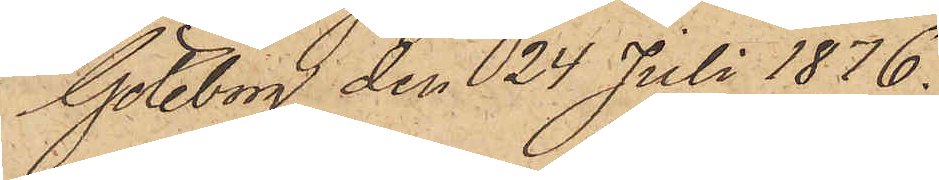Göteborg den 24 Juli 1876.
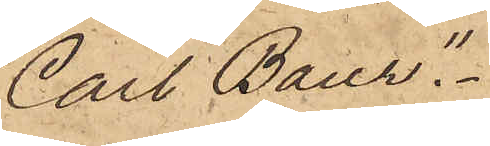Carl Baur".
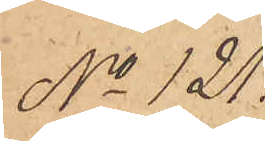No 121.
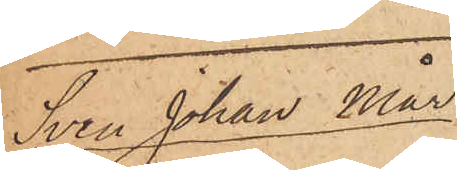Sven Johan Mår¬
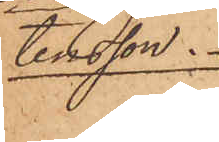tenssson.
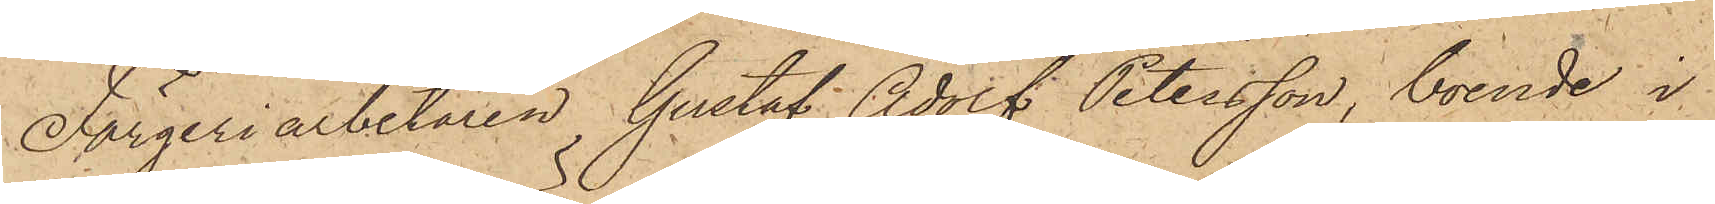Färgeriarbetaren Gustaf Adolf Petersson, boende i
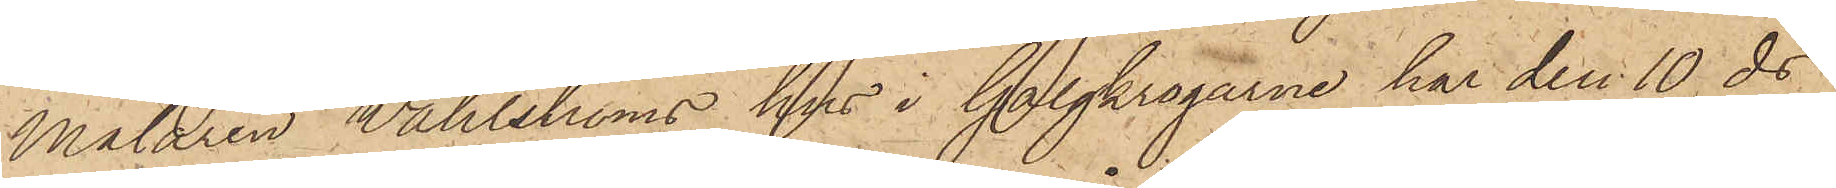Målaren Wahlströms hus i Galgkrogarne har den 10 ds
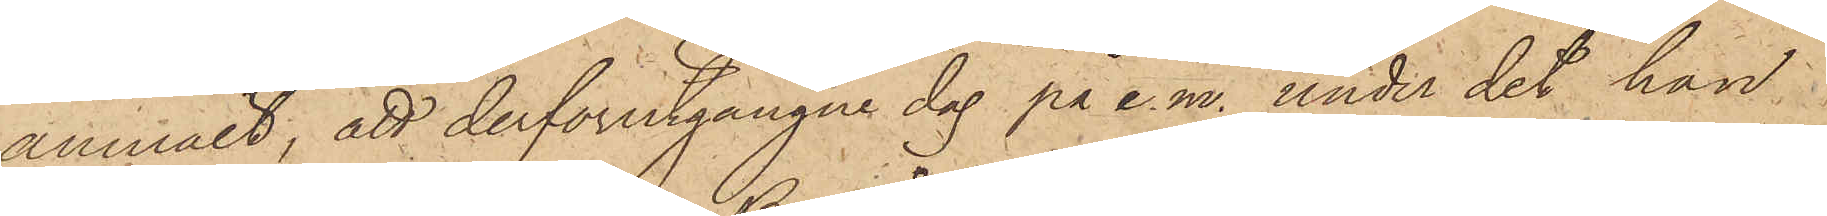anmält, att derförutgångne dag på e. m. under det han
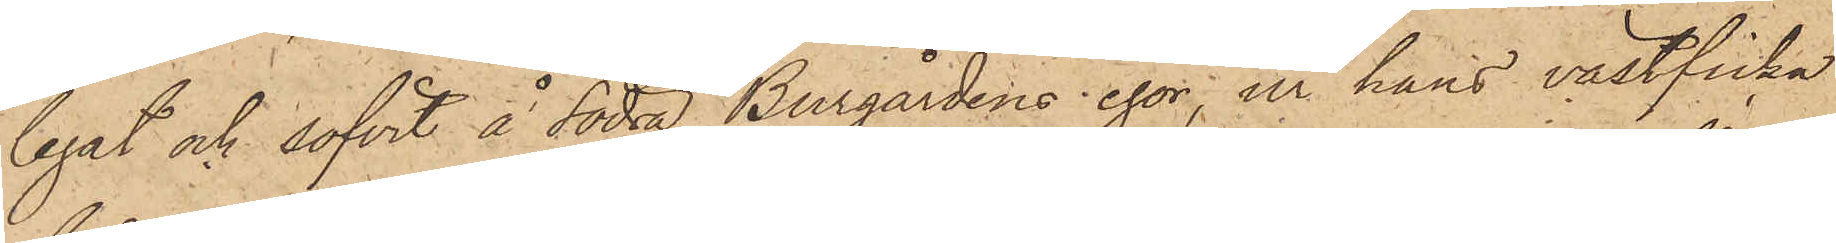legat och sofvit å Södra Burgårdens egor, ur hans västficka
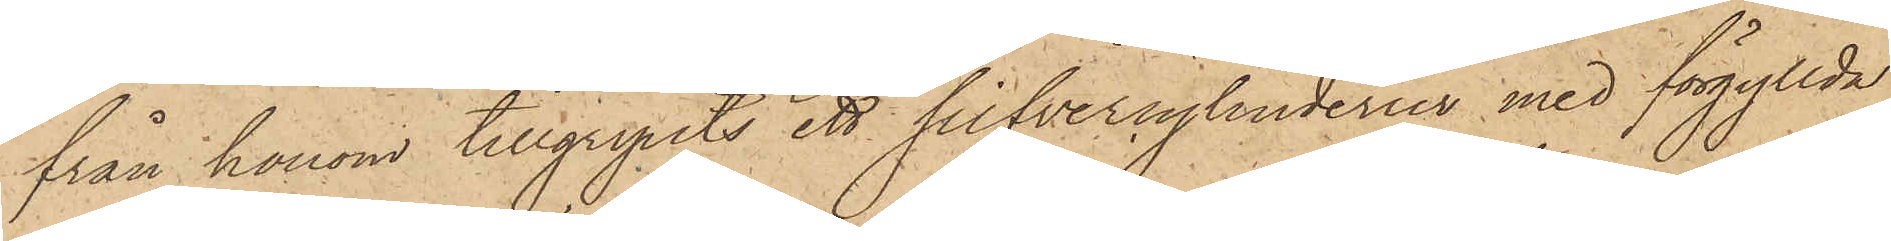från honom tillgripits ett silfvercylinderur med förgyllda
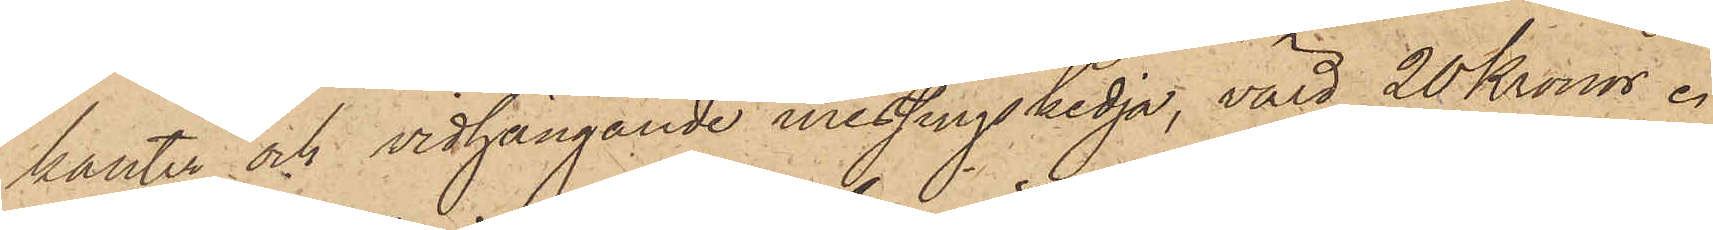kanter och vidhängande messingskedja, värd 20 Kronor.
